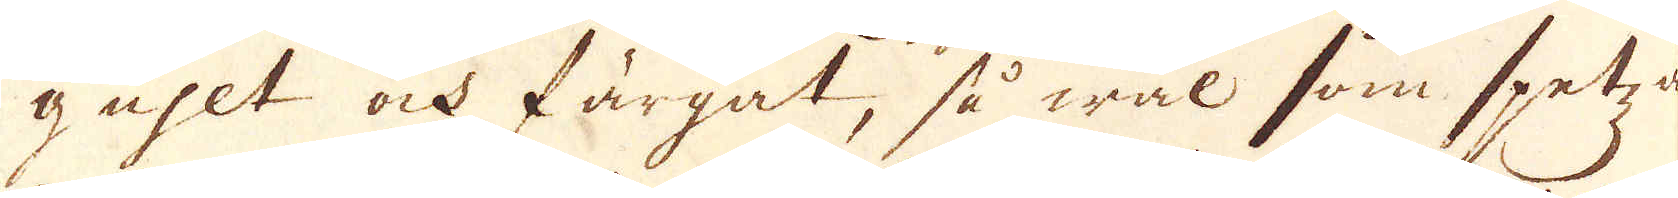guhlt ock färgat, så wäl som spetz
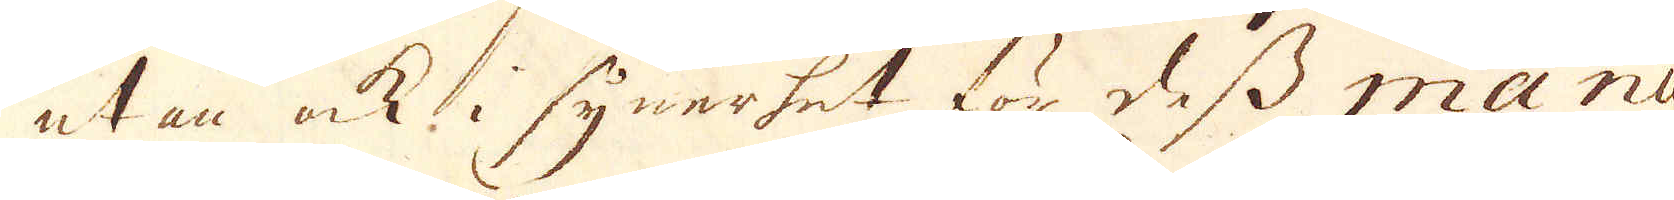utan ock i synnerhet för dess manu-
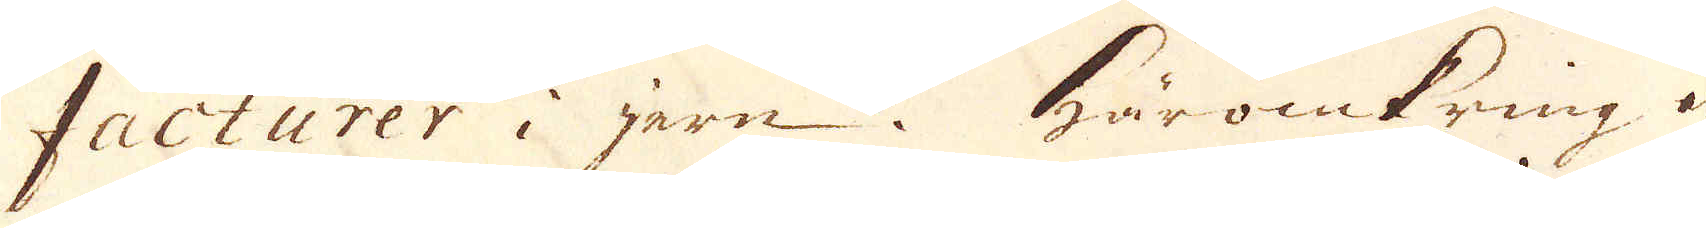facturer i jern. Häromkring är
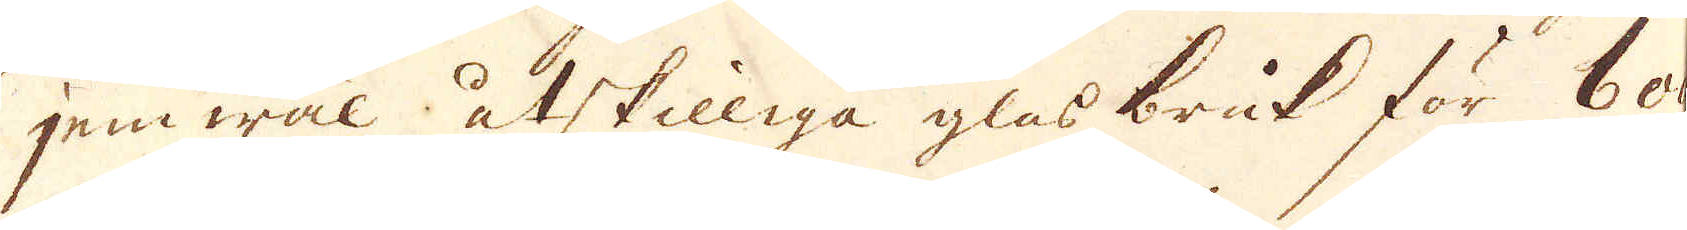jämwäl åtskilliga glasbruk för bo-
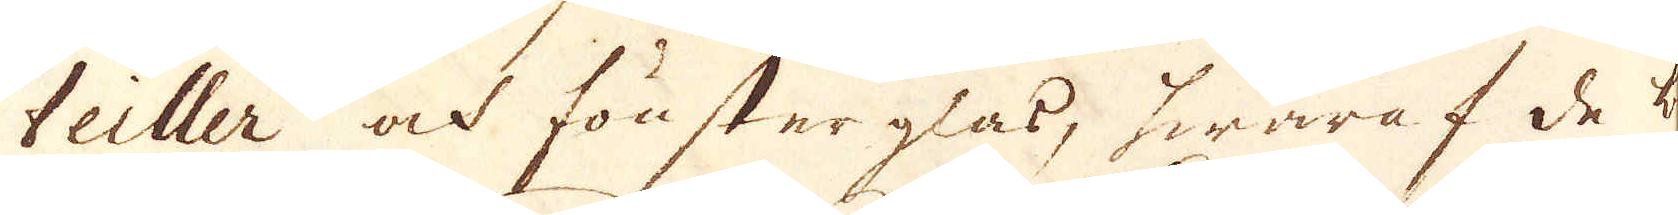teiller ock fönster glas, hwaraf de bä-
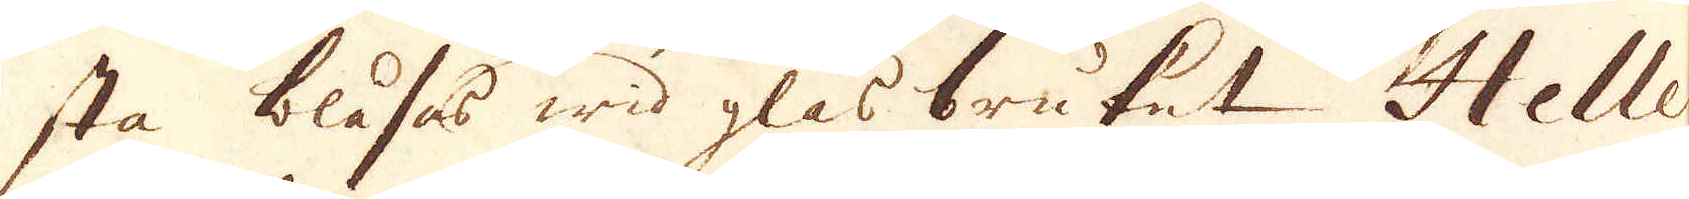sta blåses wid glasbruket Helle
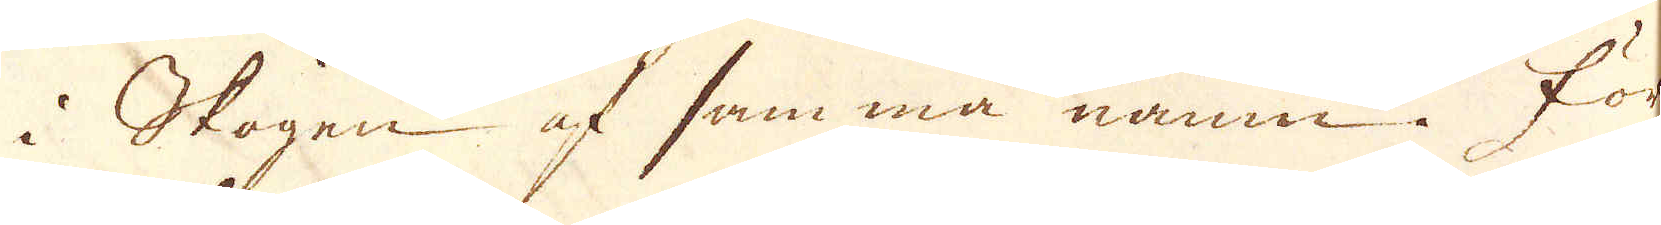i Skogen af samma namn. För
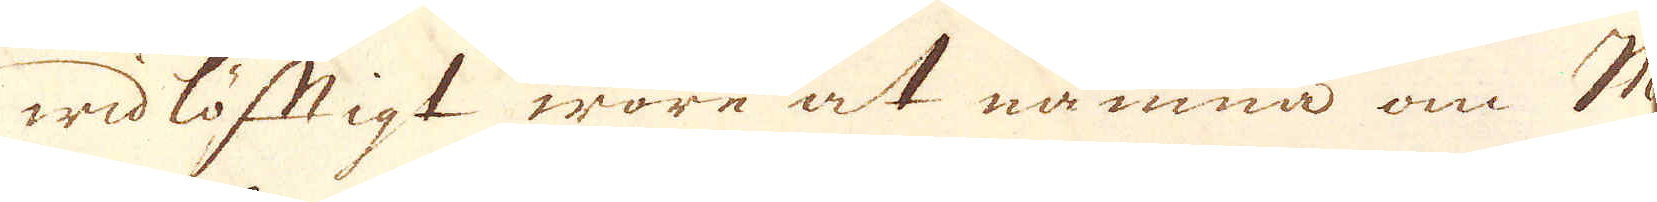widlöftigt wore at nämna om Ma-
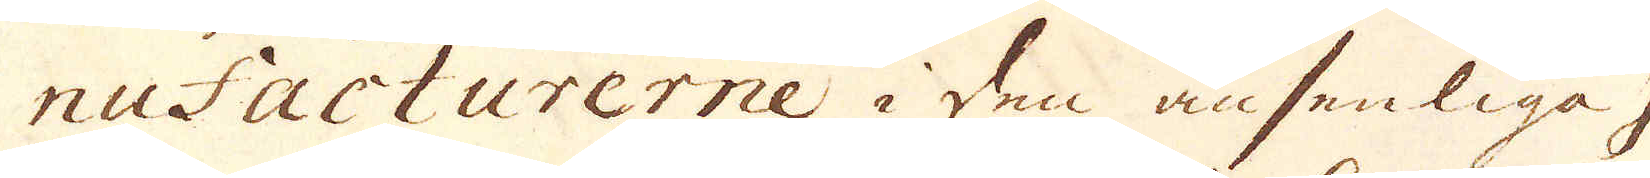nufacturerne i den ansenliga J
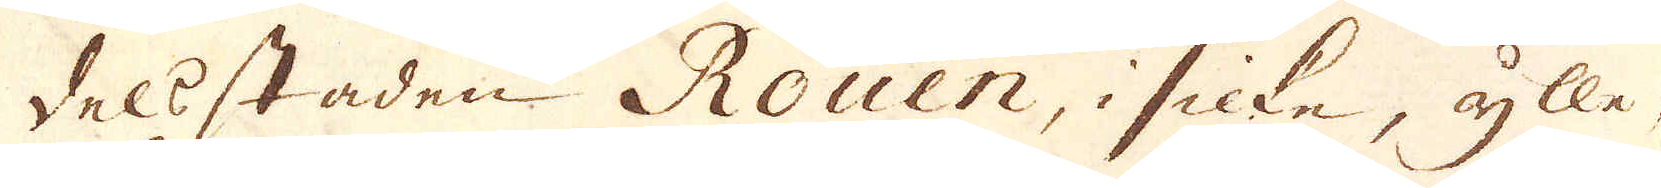dels staden Rouen, i silke, ylle,
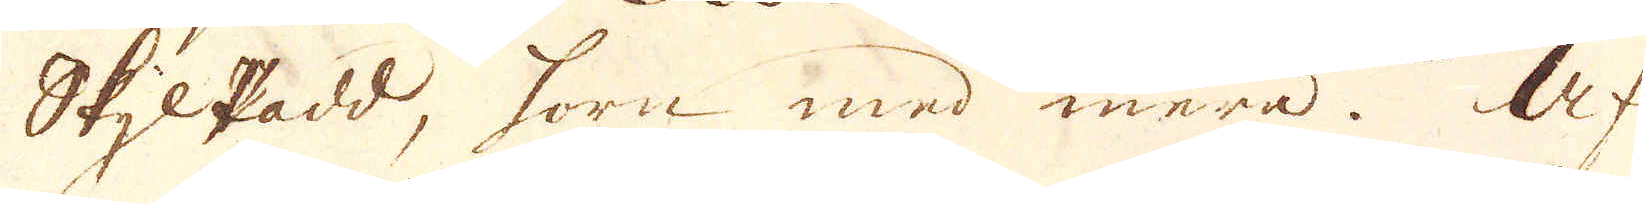Skylpadd, sorn med mera. Af
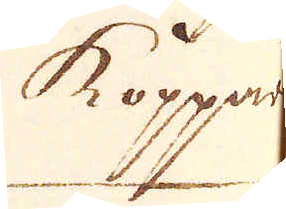Koppar
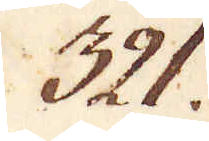321.
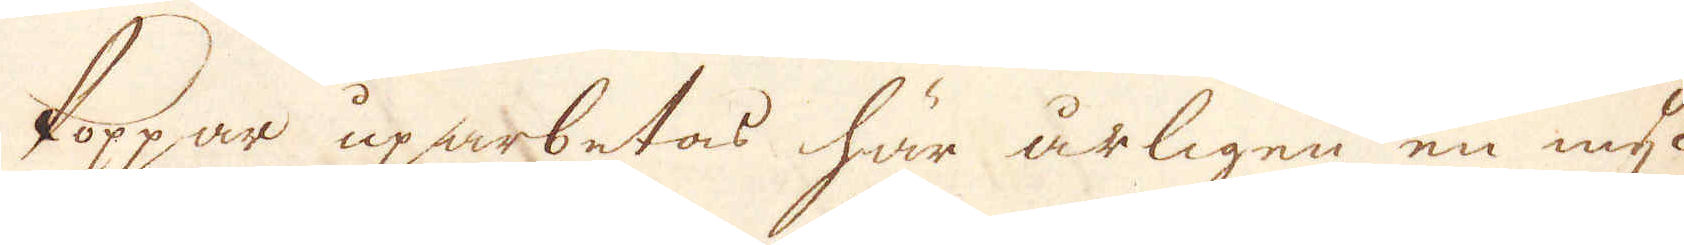koppar uparbetas här årligen en myc-
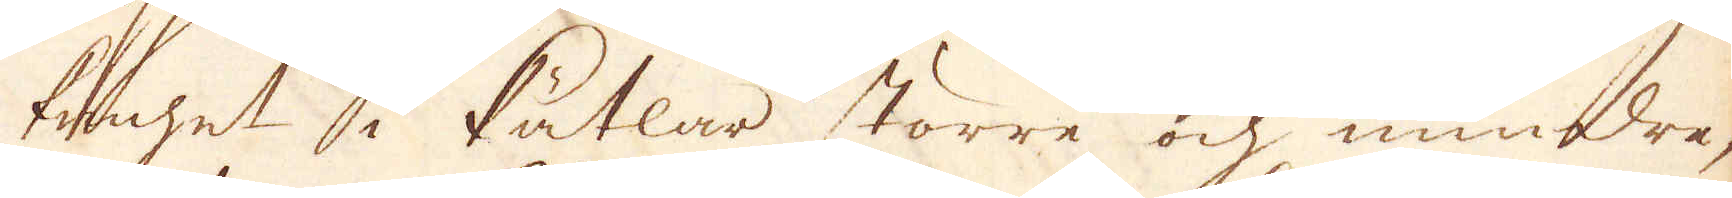kenhet i Kätlar större ok mindre,
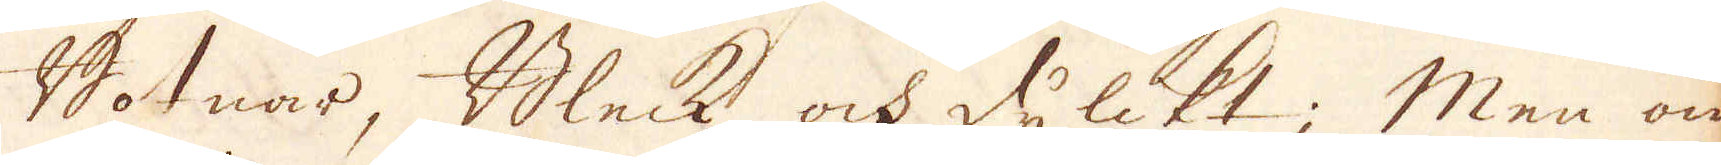Botnar, Bleck ok dylikt; Men om
